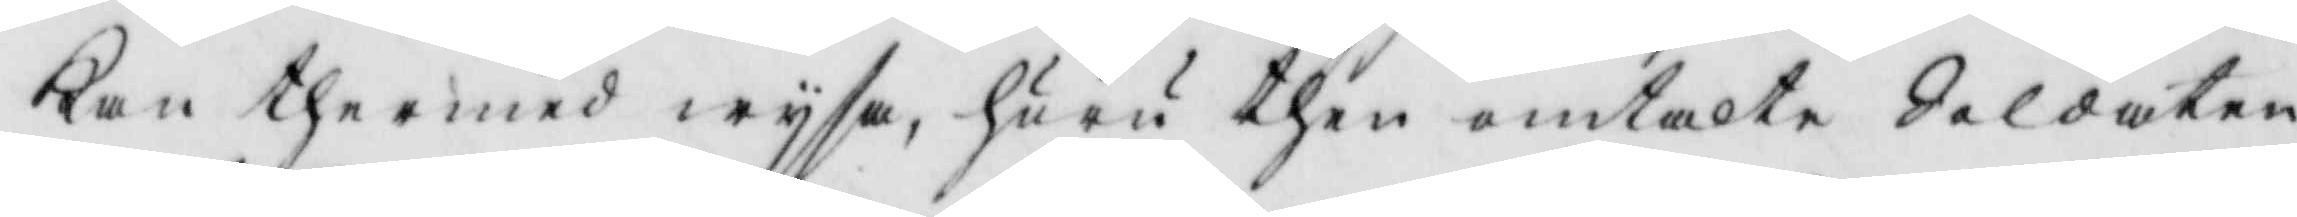kan thermed wysa, huru then omtalte Soldaten
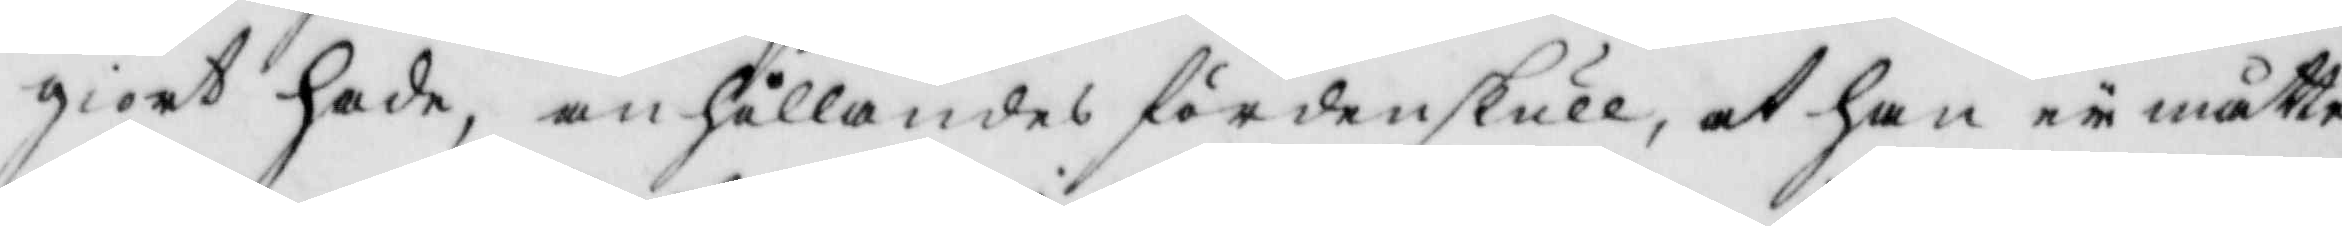giort hade, anhållandes fördenskull, at han eii måtte
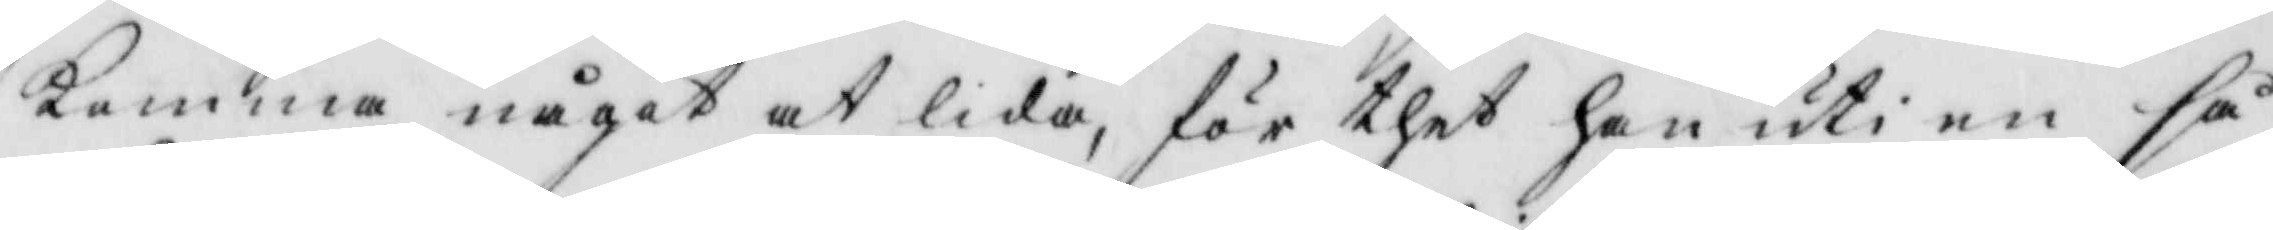komma något at lida, för thet han uti en så
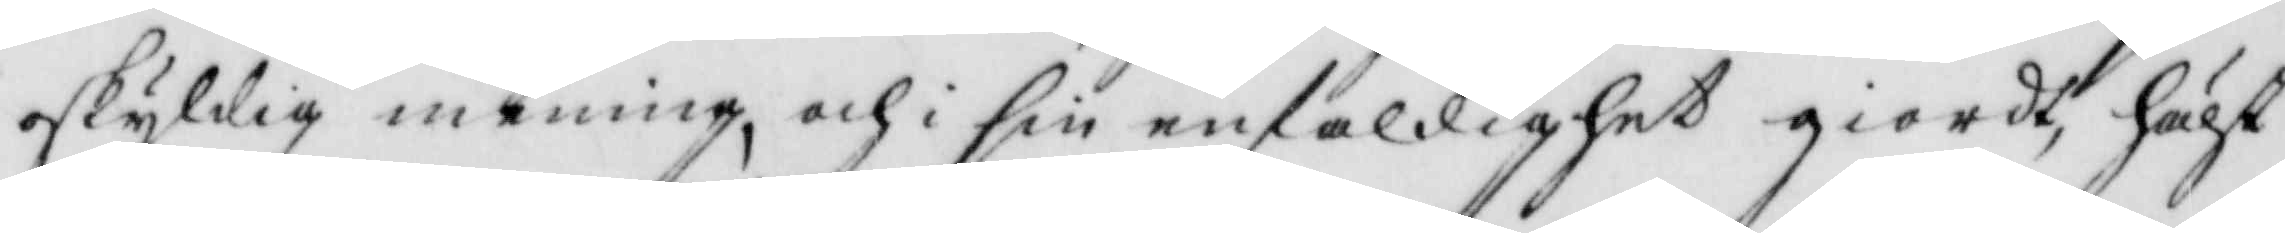oskyldig mening, och i sin enfaldighet giordt, hälst
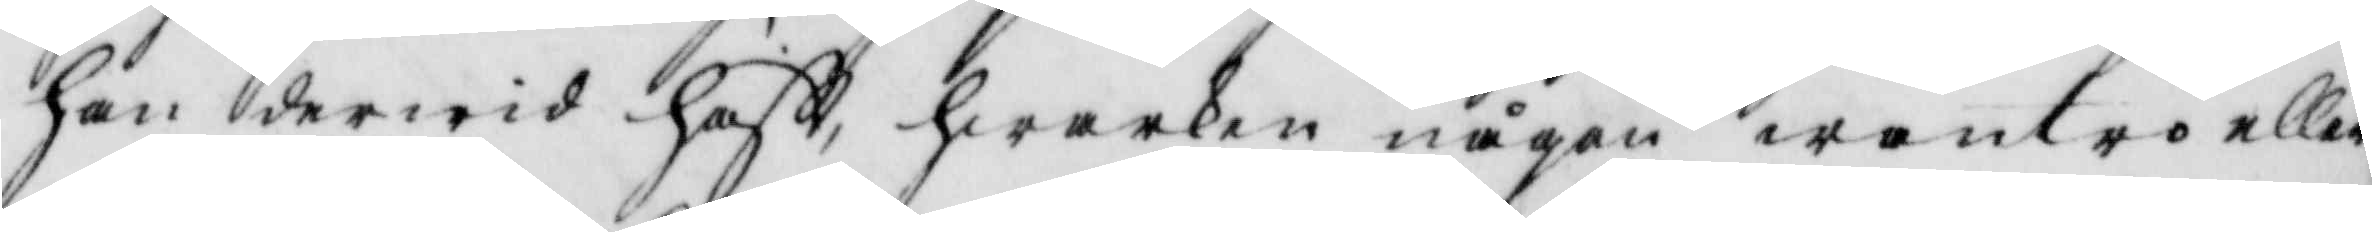han derwid haftt hwarken någon wantro eller
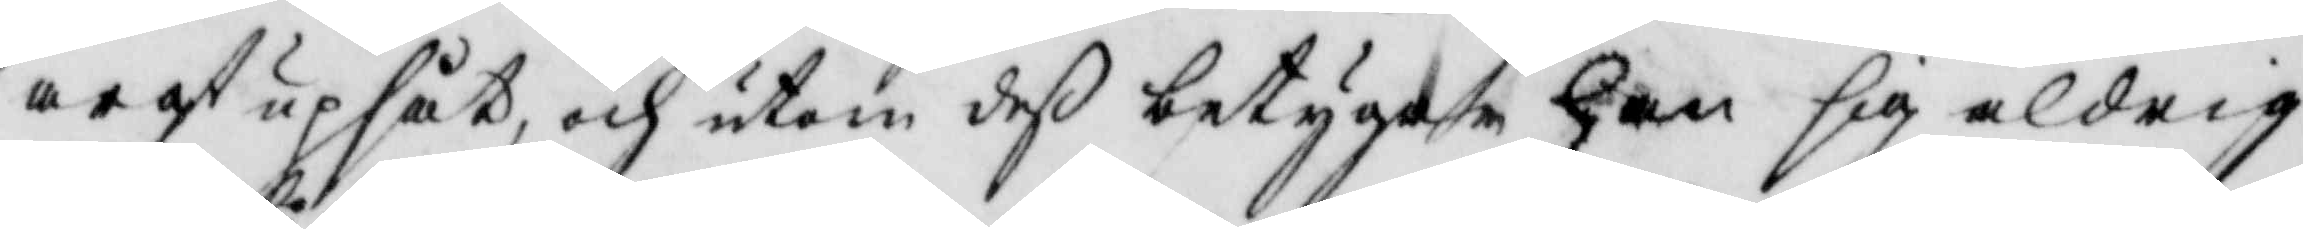argt upsåt, och utom deß betygar han sig aldrig
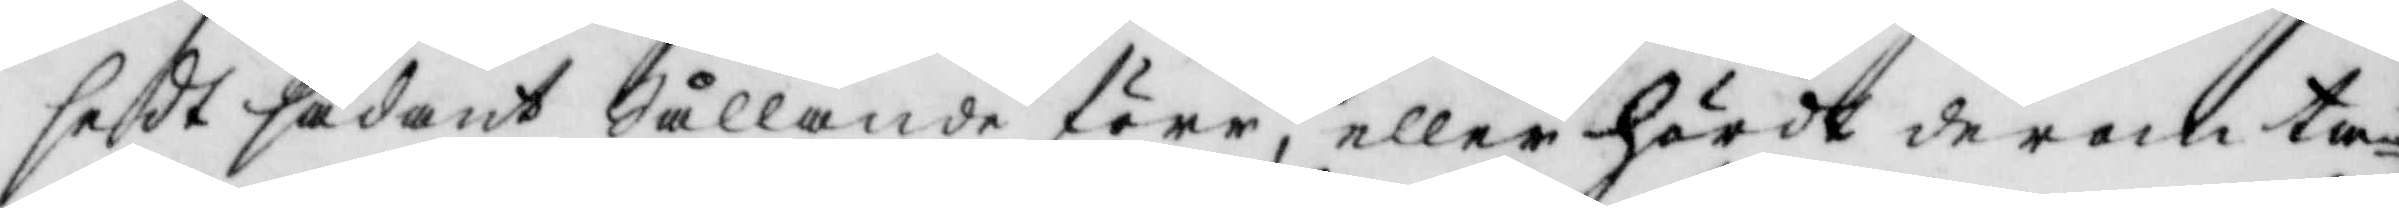sedt sådant Sållande förr eller hördt derom ta¬
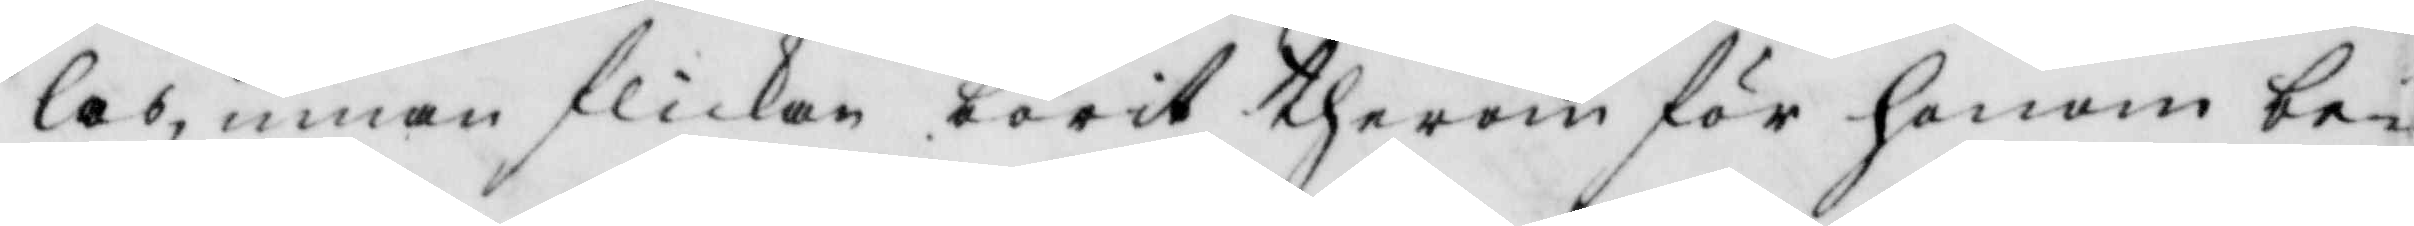las, innan flikan börit therom för honom be¬
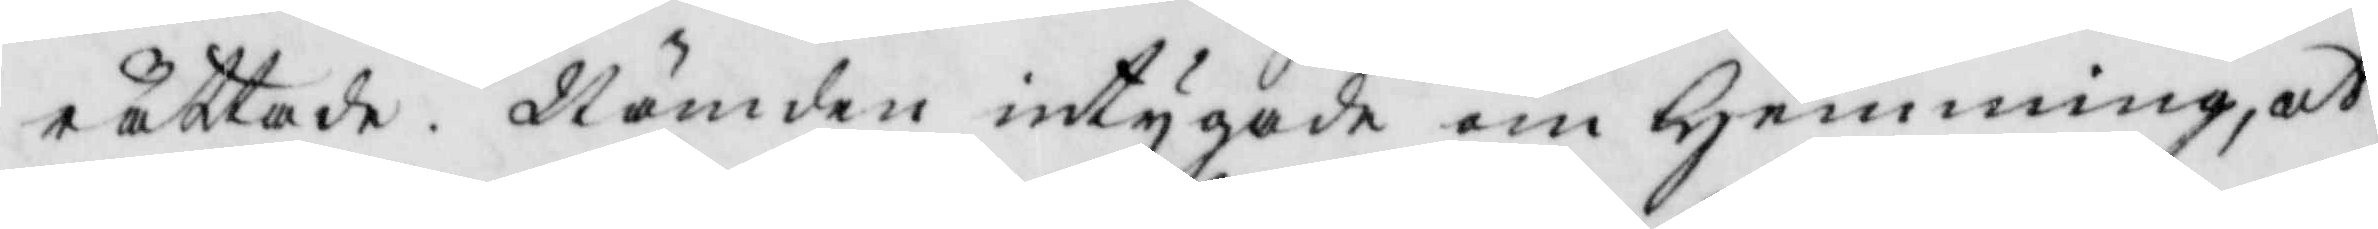raäätade. Nämden intygade om Hemming, at
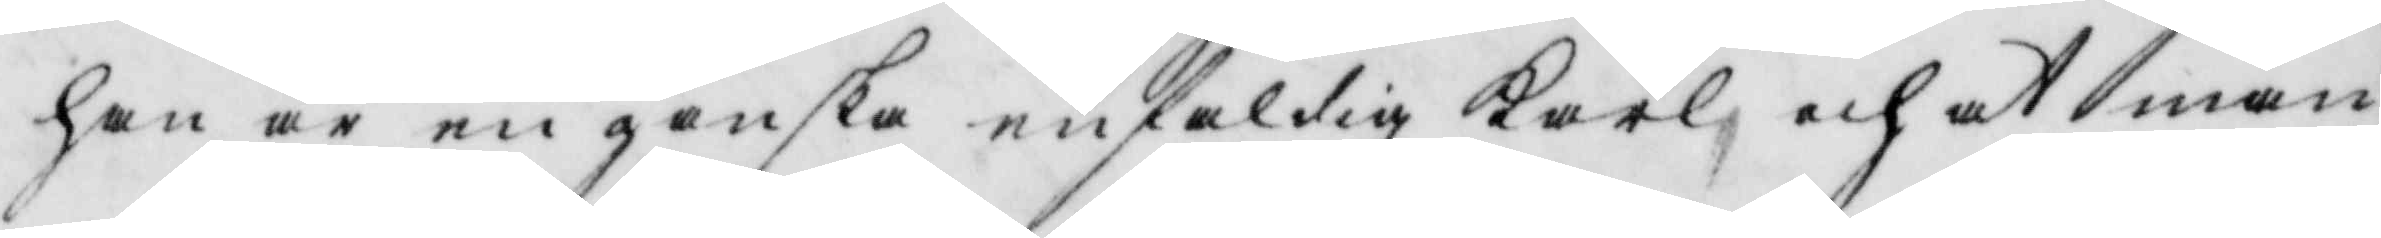han är en ganska enfaldig Karl och at man
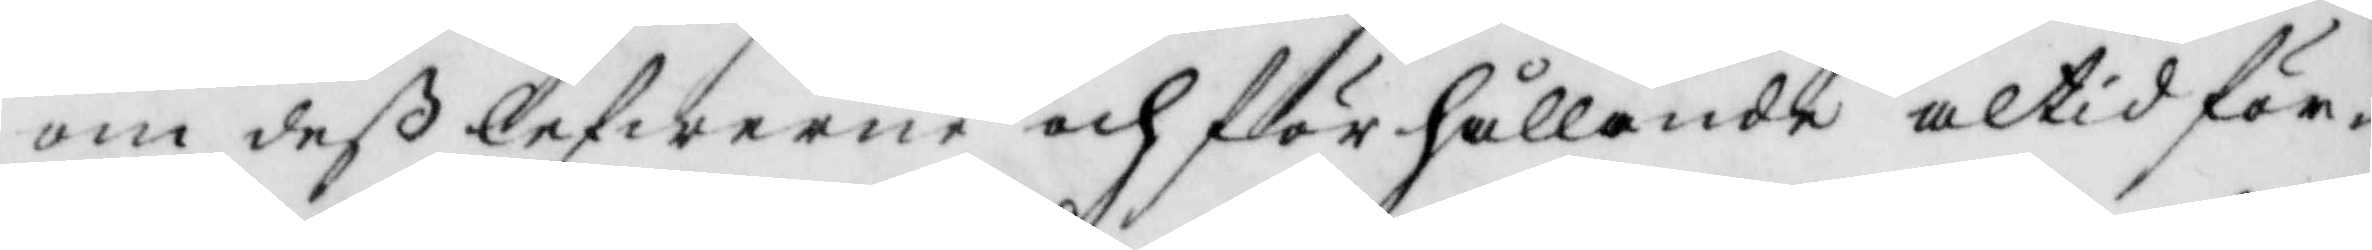om deß lefwerne och förhållande altid för¬
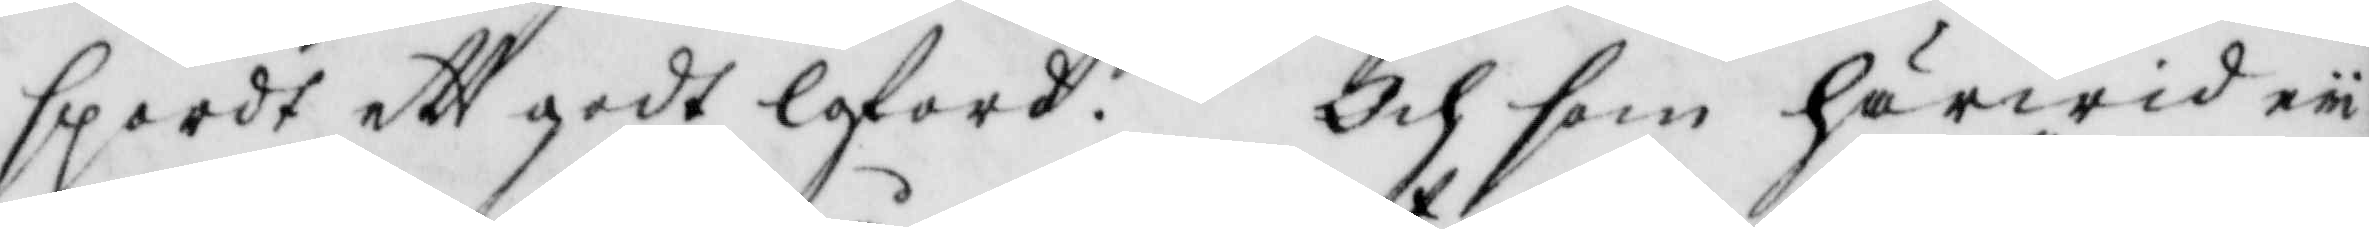spordt ett godt loford. Och som härwid eii
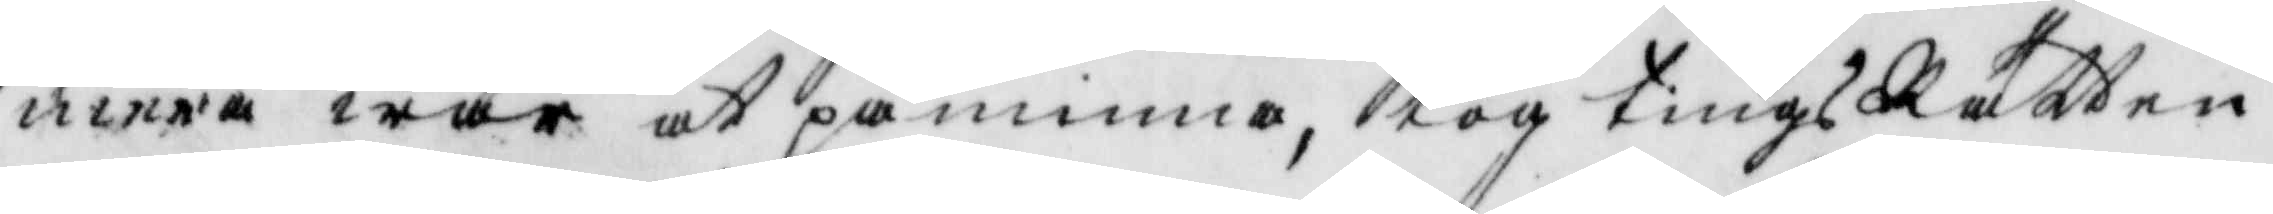mera war at påminna, tog tings Rätten
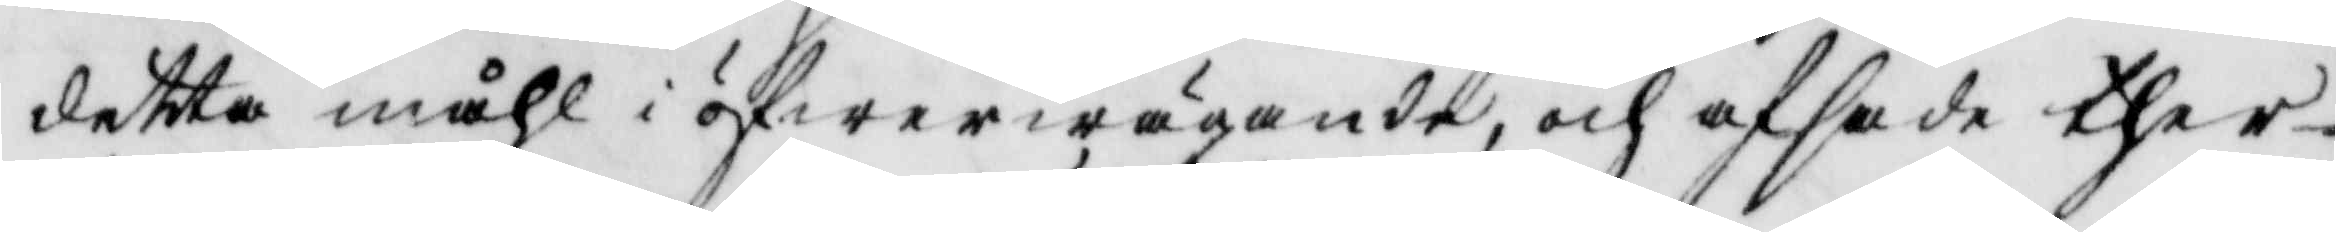detta måhl i öfwerwägande, och afsade ther¬
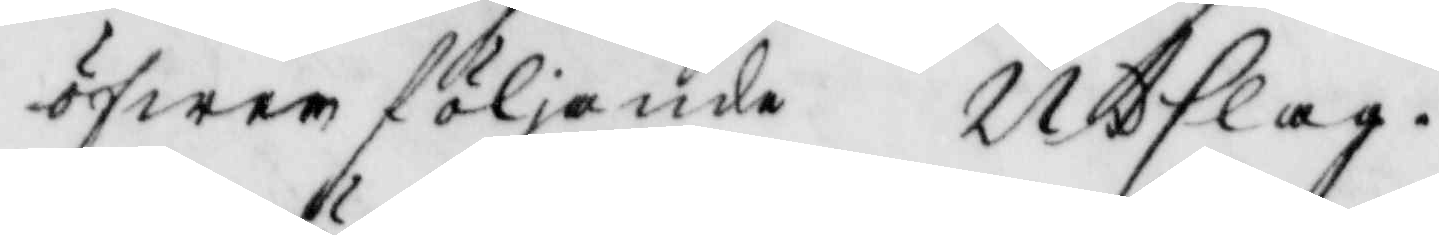öfwer följande Utslag.
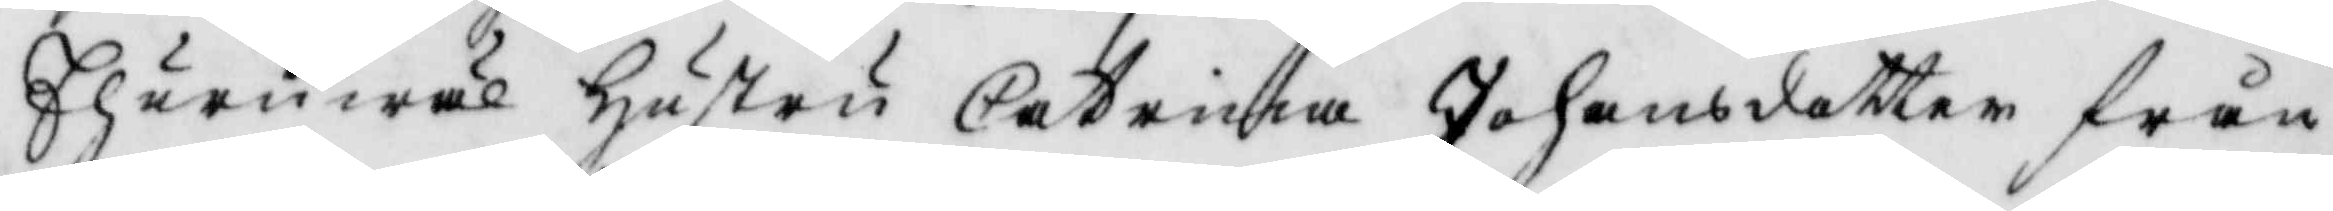Ehuruwäl hustru Catrina Joansdotter från
